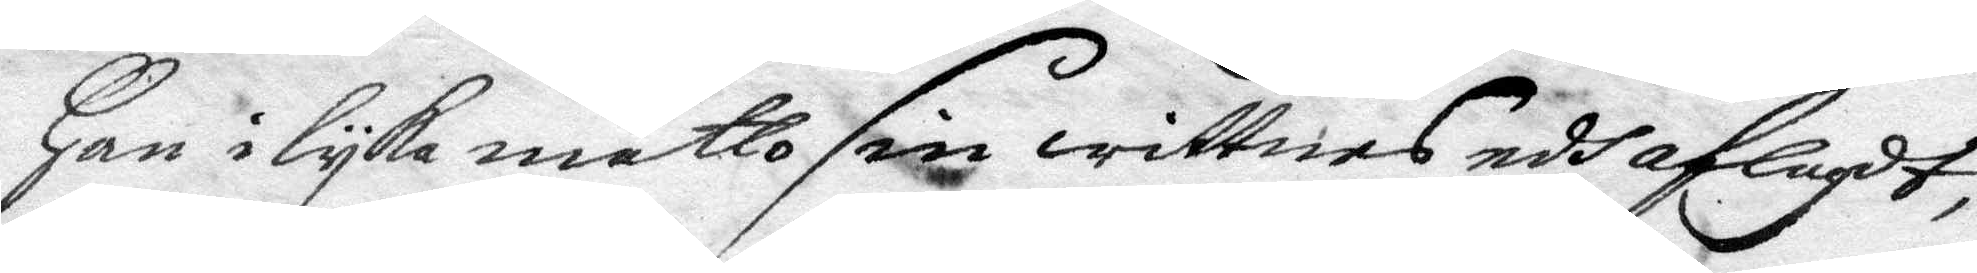Han i lyka måtto sin wittnesedh aflagdt,
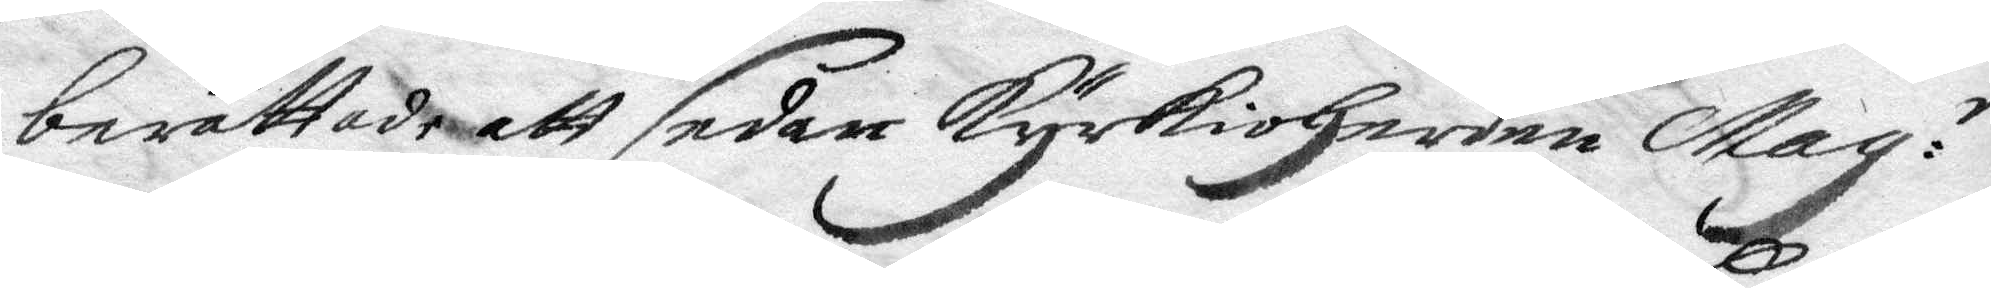berättade att sedan kyrkioHerden Mag:r
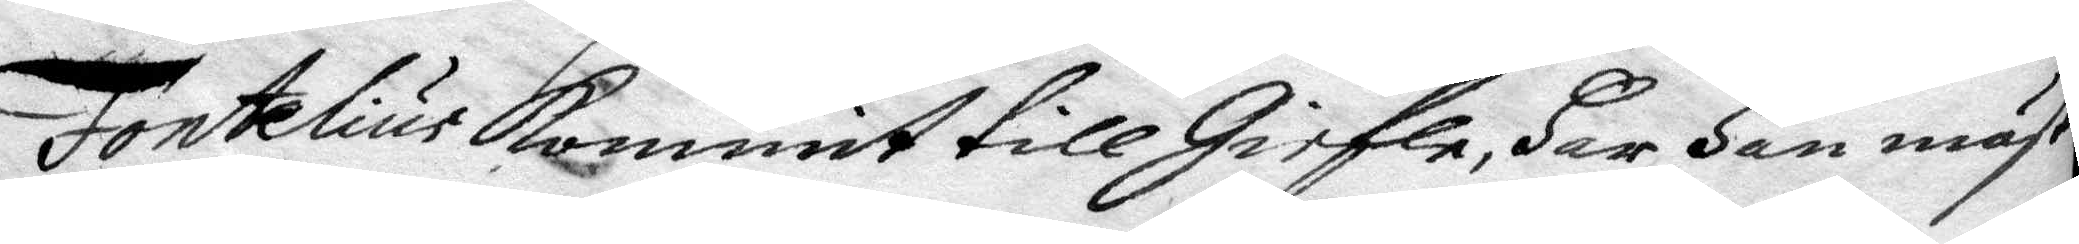Fontelius kommit till Giefle, Har Han mäst
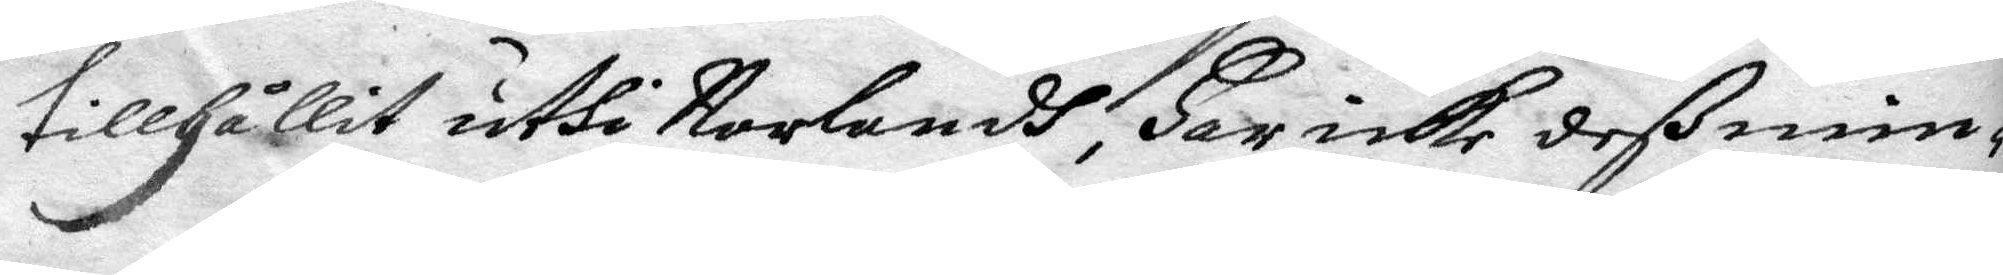tillHållit uthi Norlandh, Har icke deß min¬
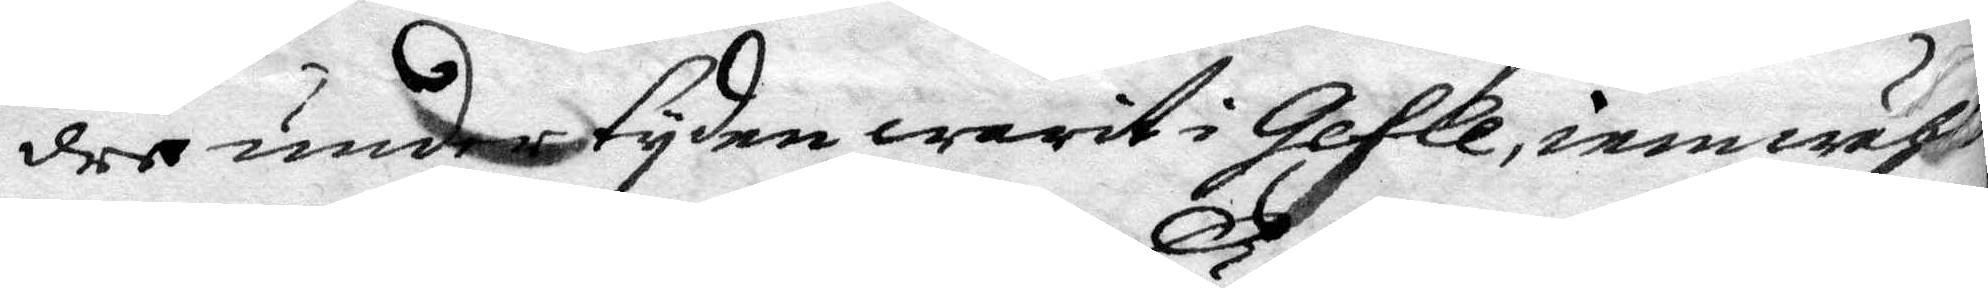dre under tyden warit i Gefle och iemwähl
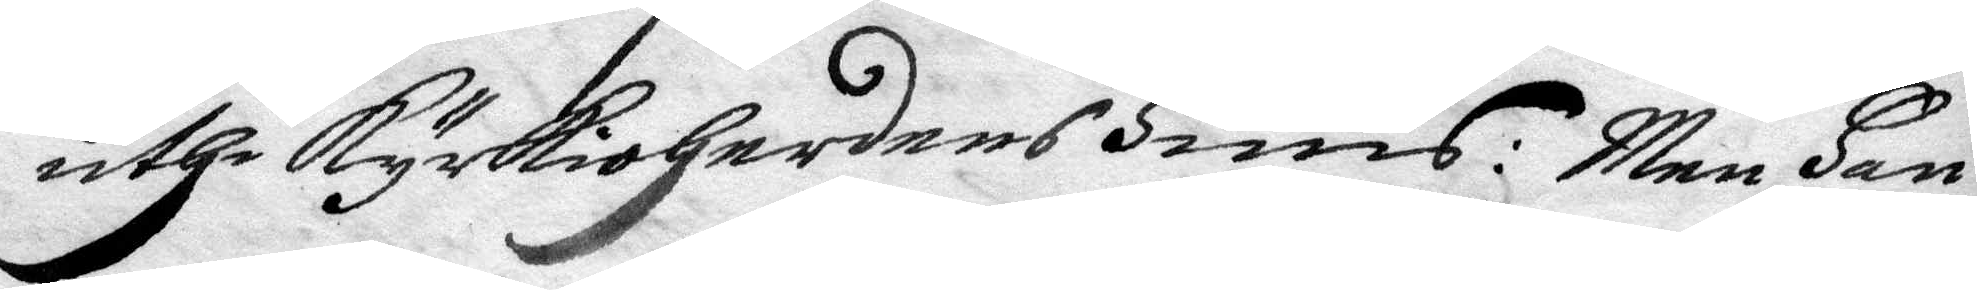uthi kyrkioHerdens Huus: Men Han
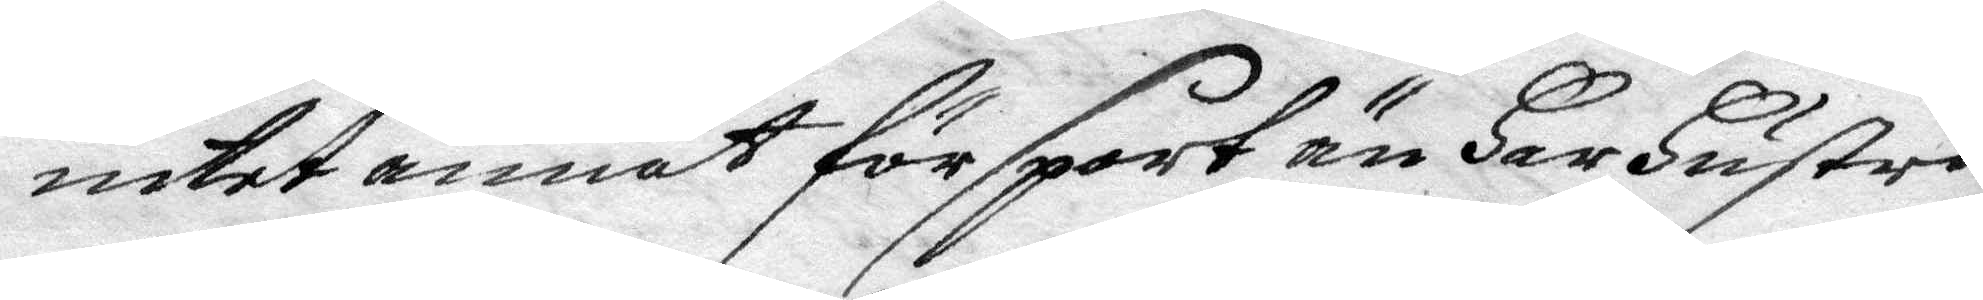intet annat för sport än Har Hustrus
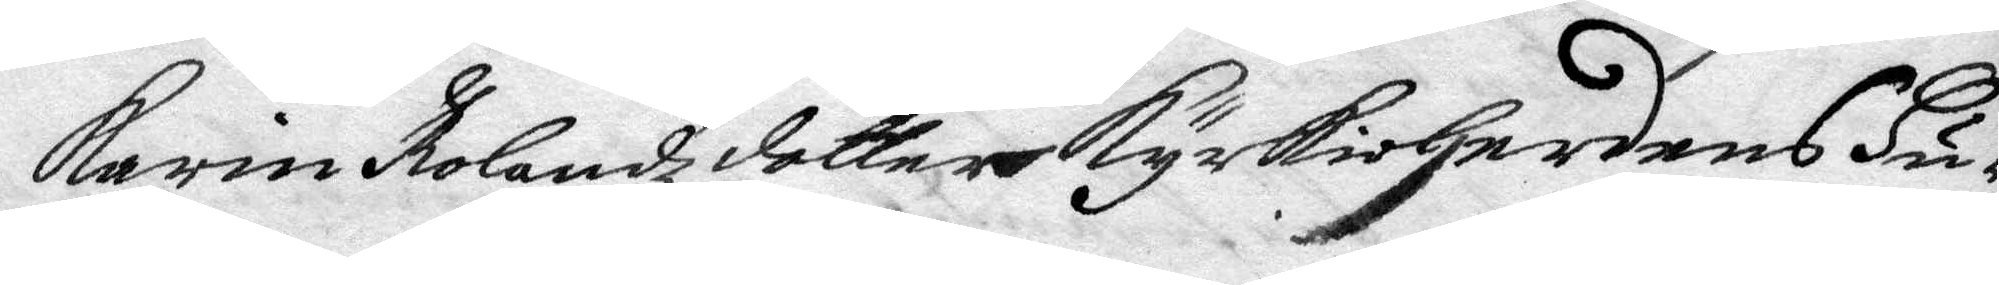Karin Rolandz dotter kyrkioHerdens Hu¬
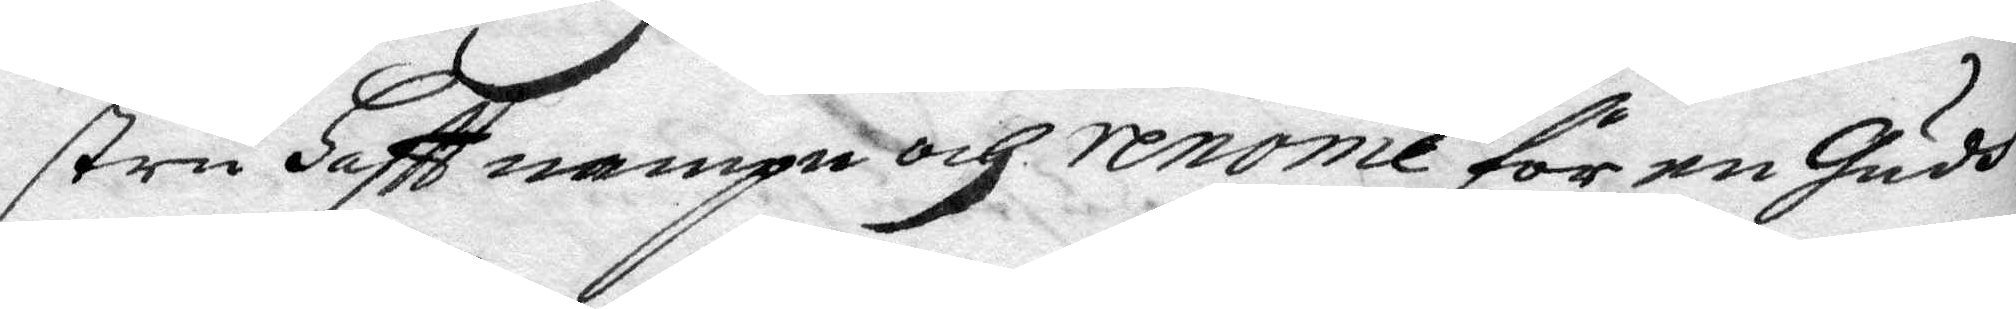stru Haftt nampn och renome för en Gudh¬
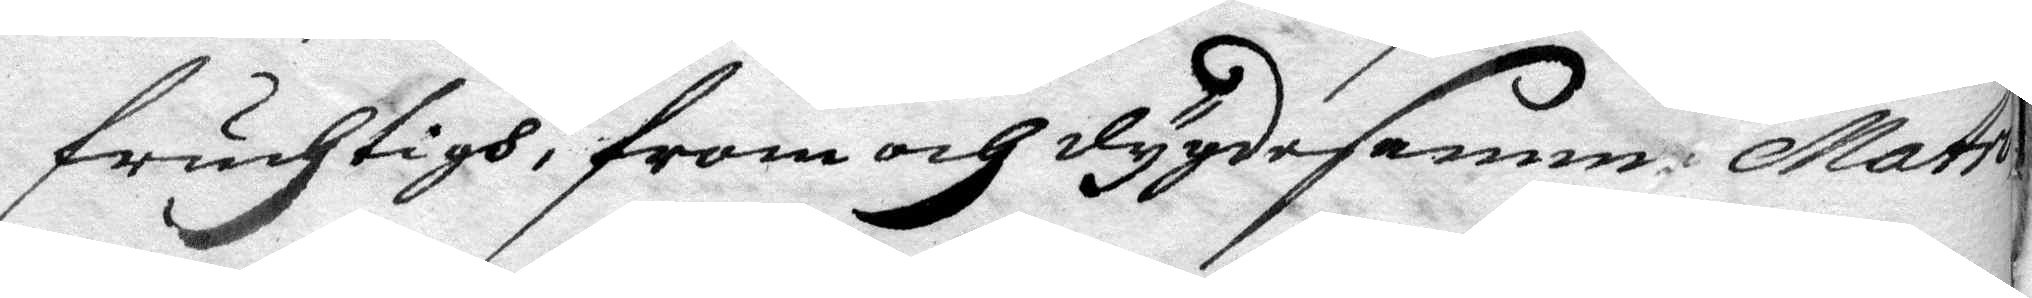fruchtigh, from och dygdesamm Matro¬
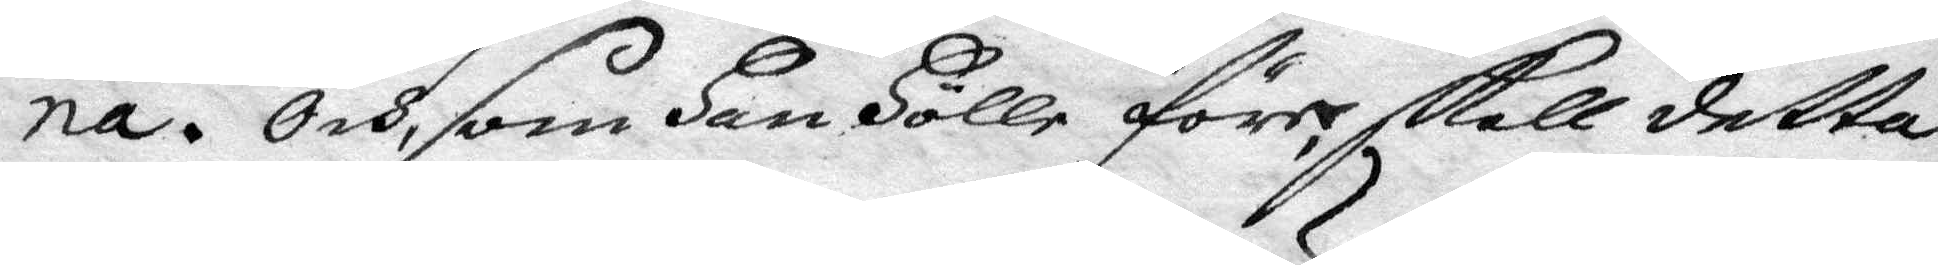na. Och, som Han Hölle före skall detta
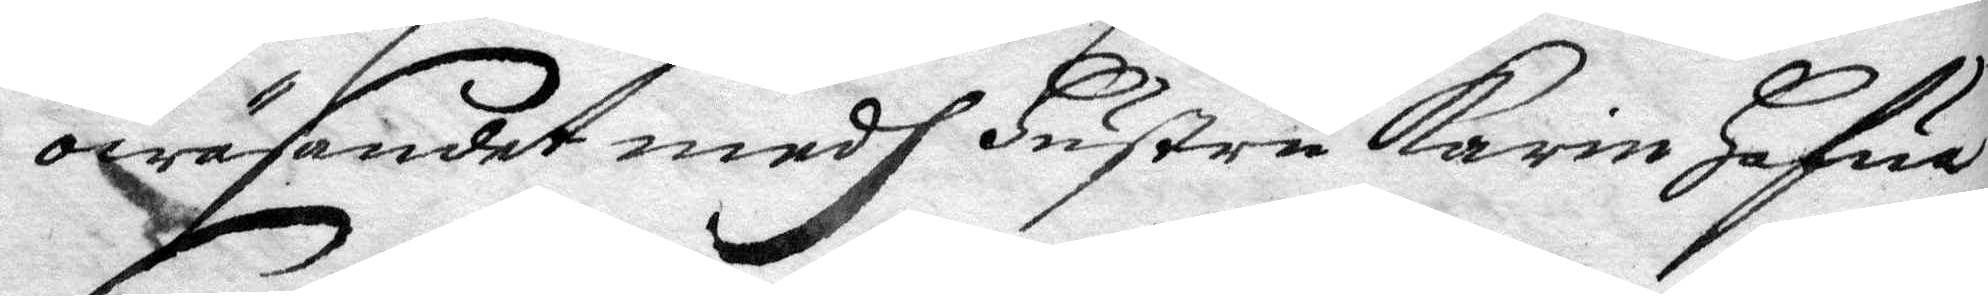owäsendet medh Hustru Karin Hafua
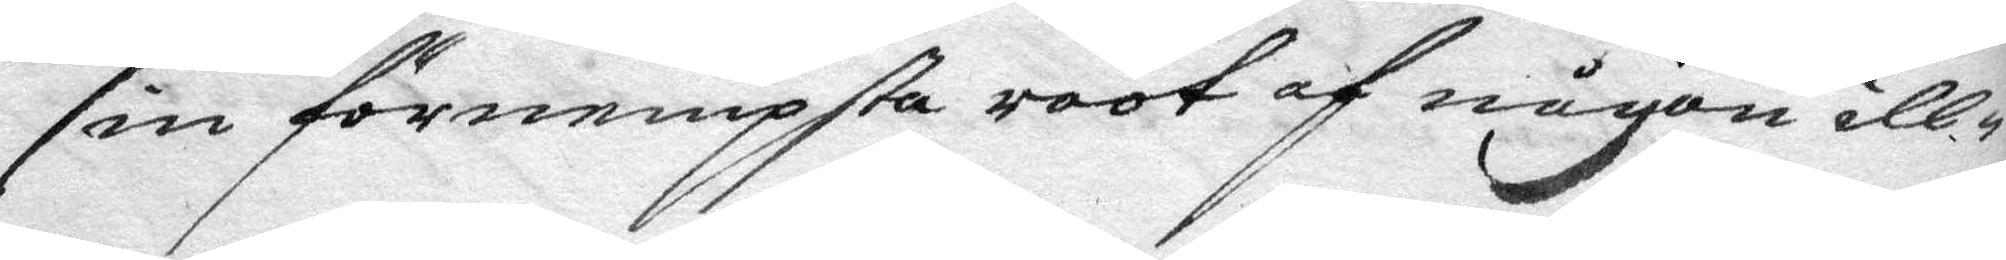sin förnempsta root af någon ill¬
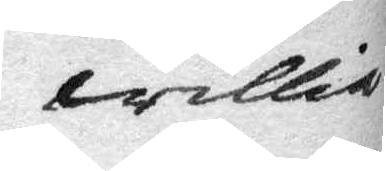willia
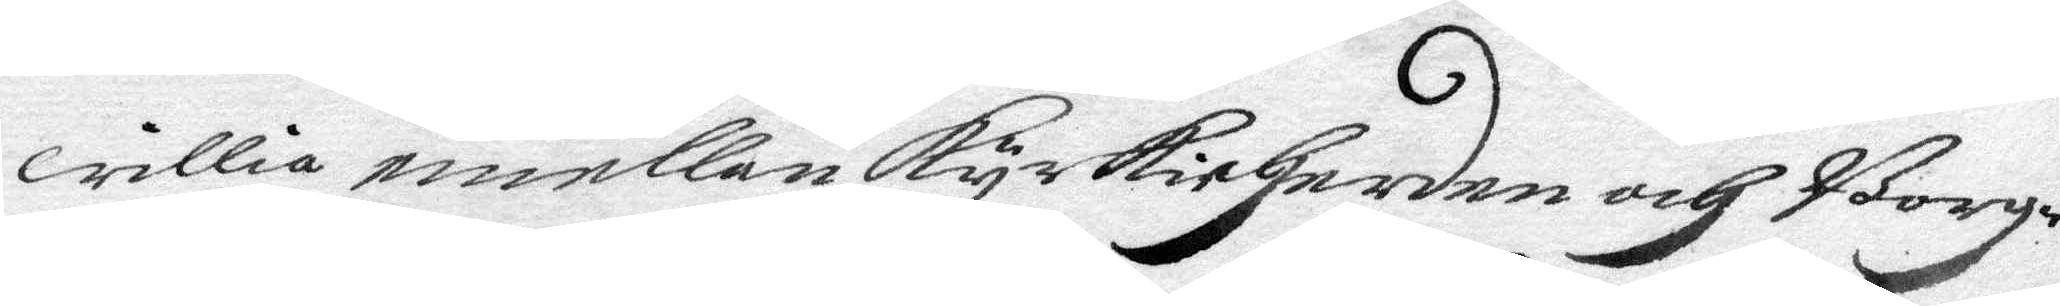willia emellan kyrkioHerden och Borg¬
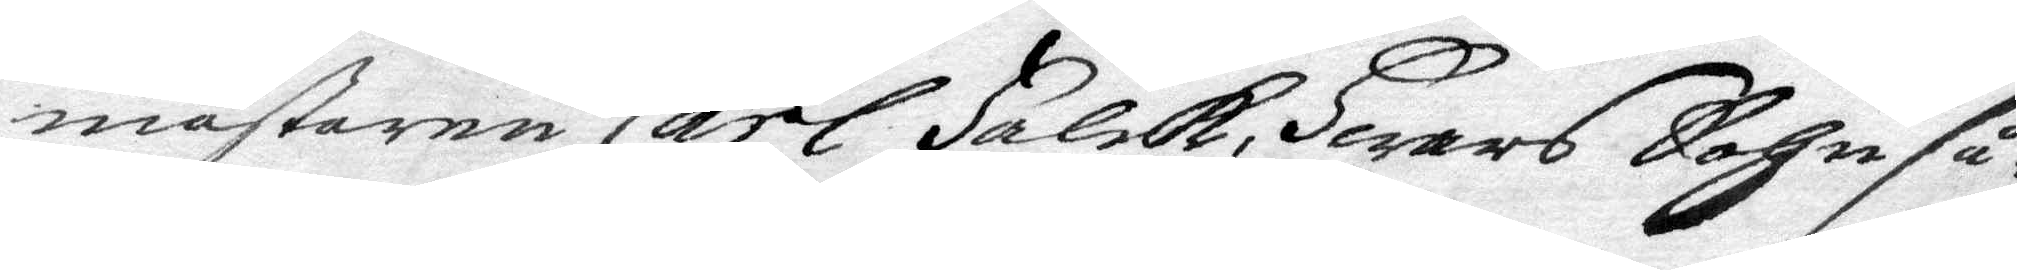mästaren Carl Falck, Hwars Sohn så¬
